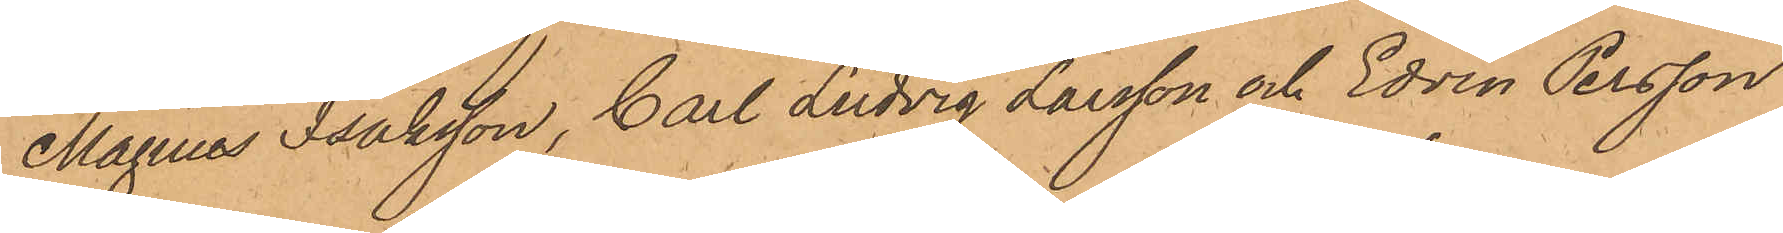Magnus Isaksson, Carl Ludvig Larsson och Edvin Persson
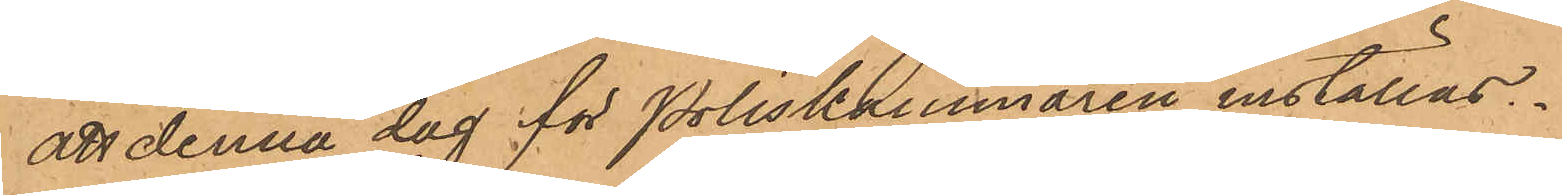att denna dag för Poliskammaren inställas.
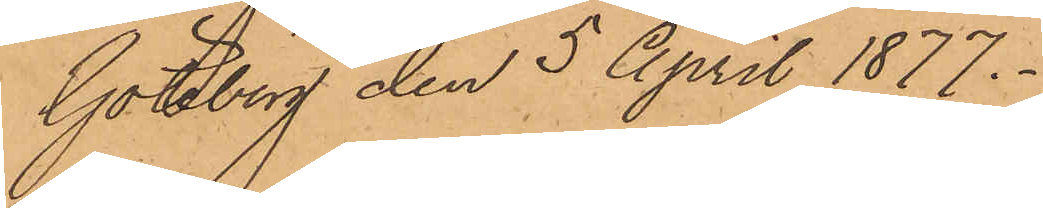Göteborg den 5 April 1877.
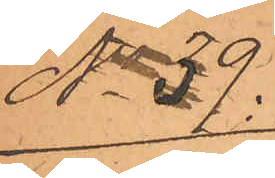No 39.
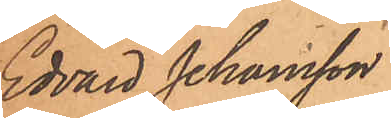Edvard Johansson
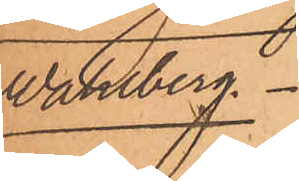Wahlberg.
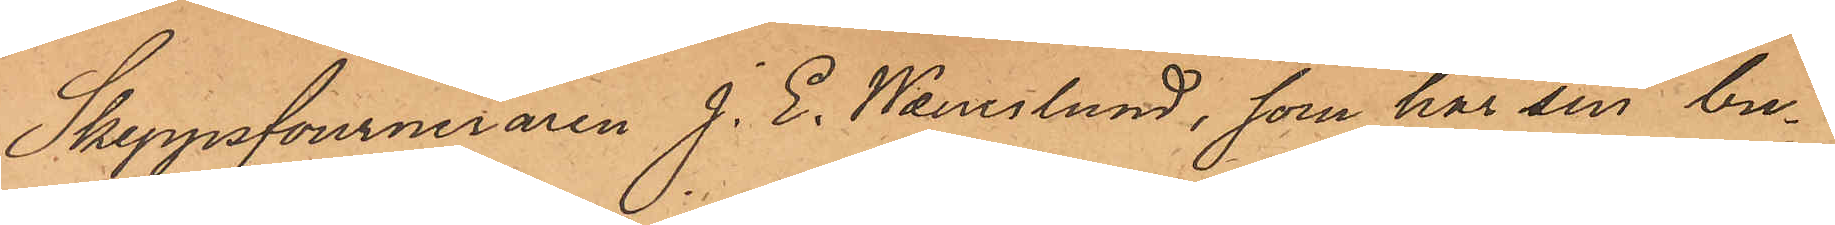Skeppsfourneraren J. E. Wanerlund, som har sin bu¬
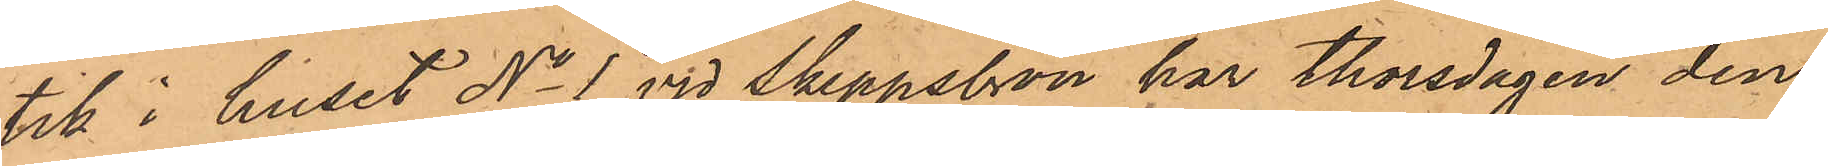till i huset No 1 vid Skeppsbron har Thorsdagen den
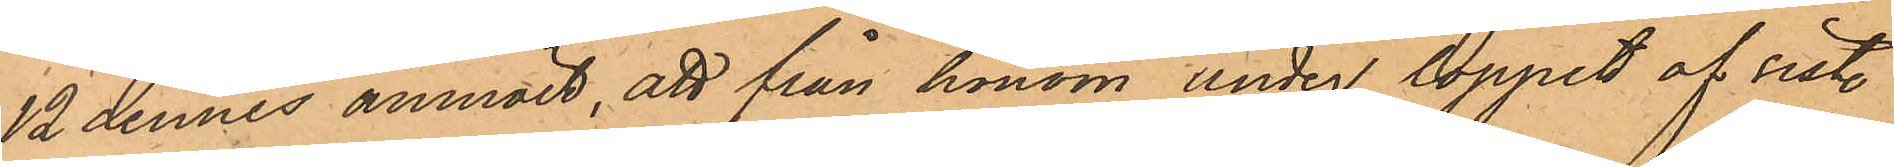12 dennes anmält, att från honom under loppet af sist.
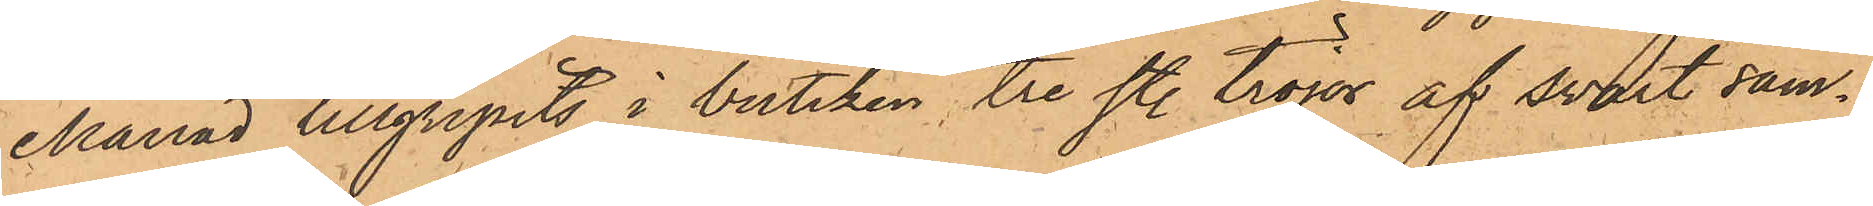Månad tillgripits i butiken, tre st. tröjor af svart säm¬
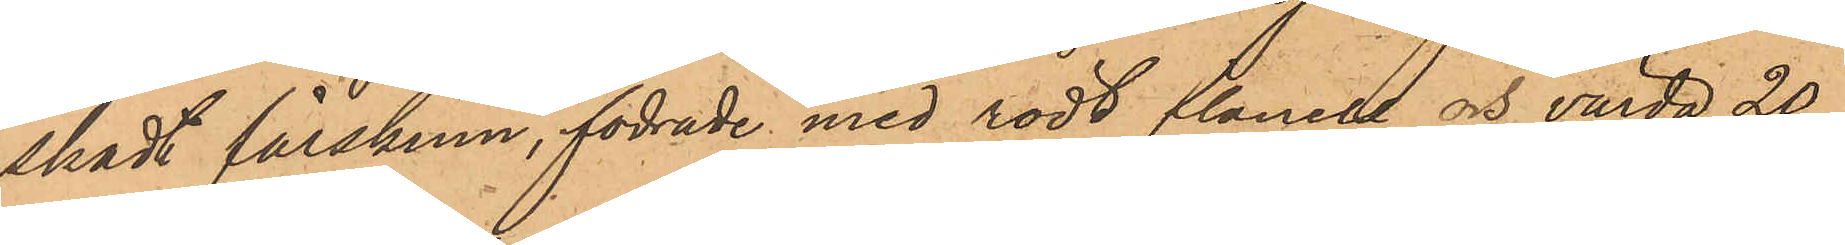skadt fårskinn, fodrade med rodt flanell och värda 20
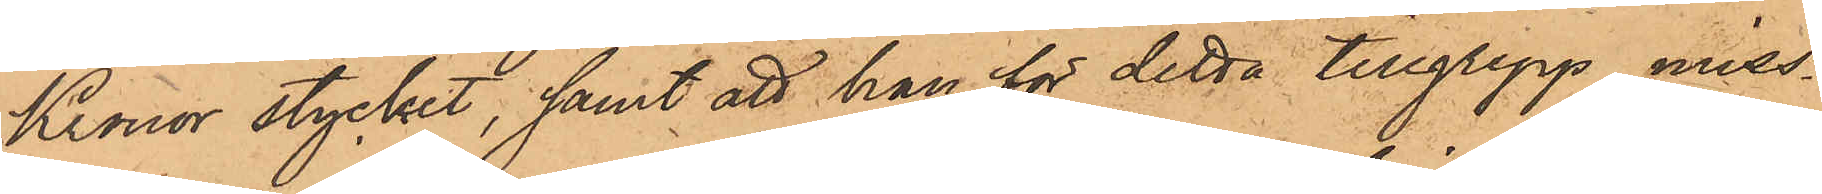Kronor stycket; samt att han för detta tillgrepp miss¬
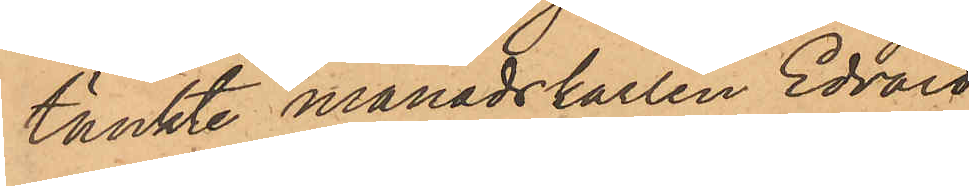tänkte månadskarlen Edvard
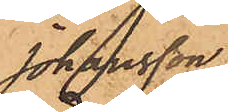Johansson
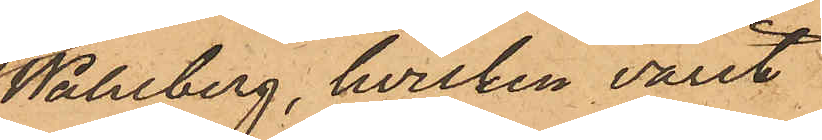Wahlberg, hvilken varit
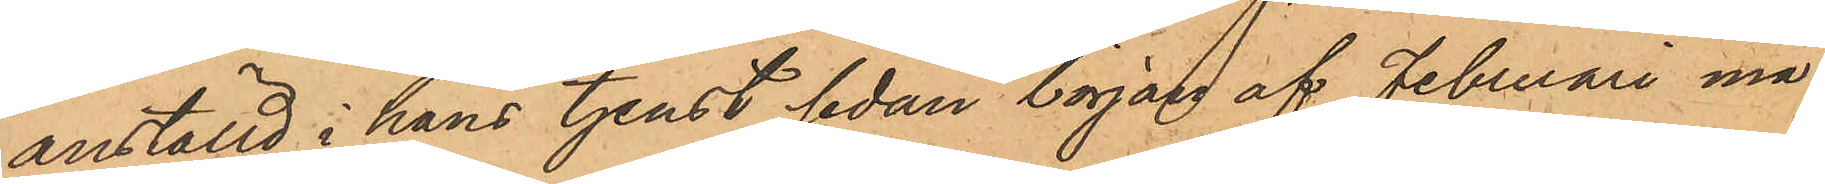anställd i hans tjenst sedan början af Februari må¬
